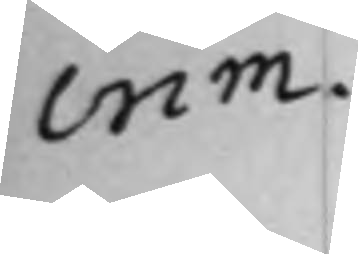crim.
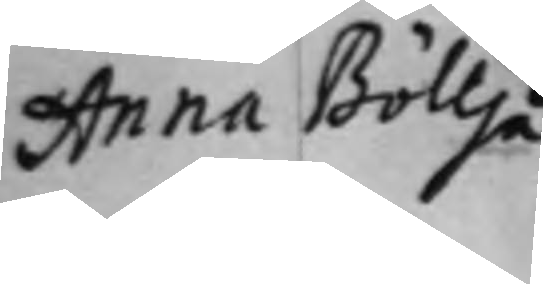Anna Böllja
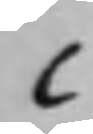C
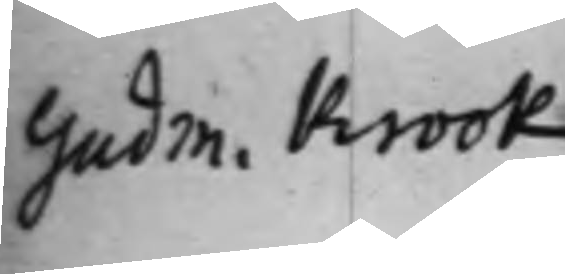Gudm. Krook
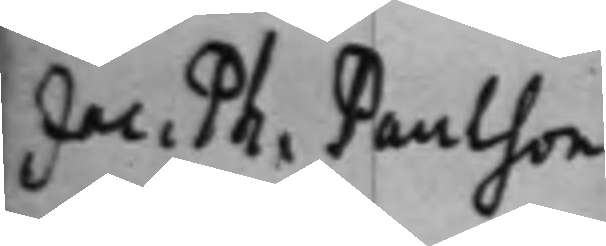Jac. Ph. Paulson
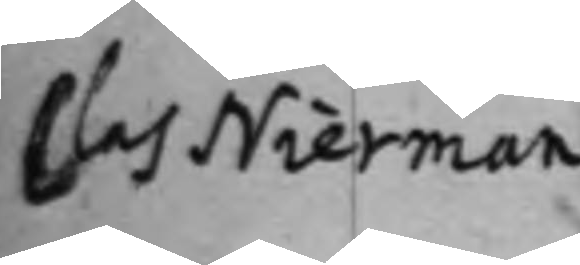Clas Nierman
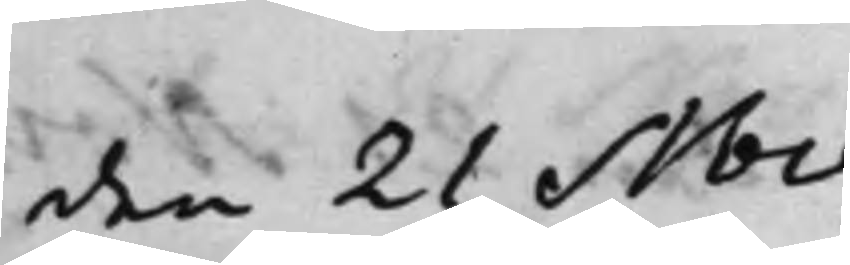den 21 Nov.
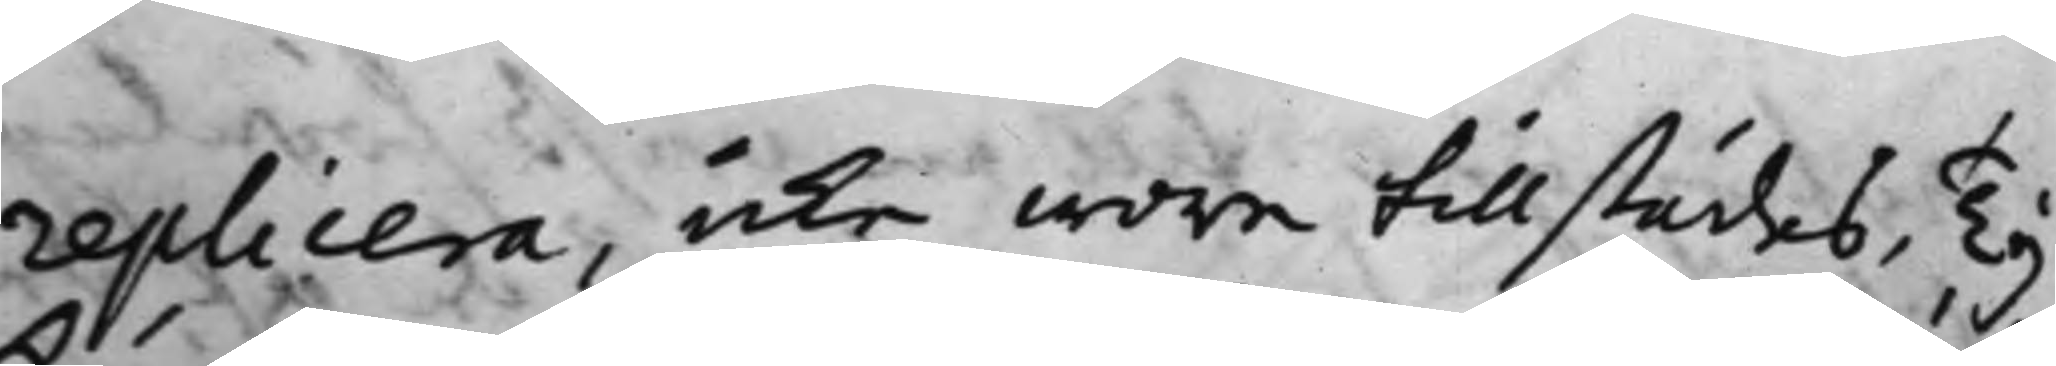replicera, icke wore tillstädes, Ty
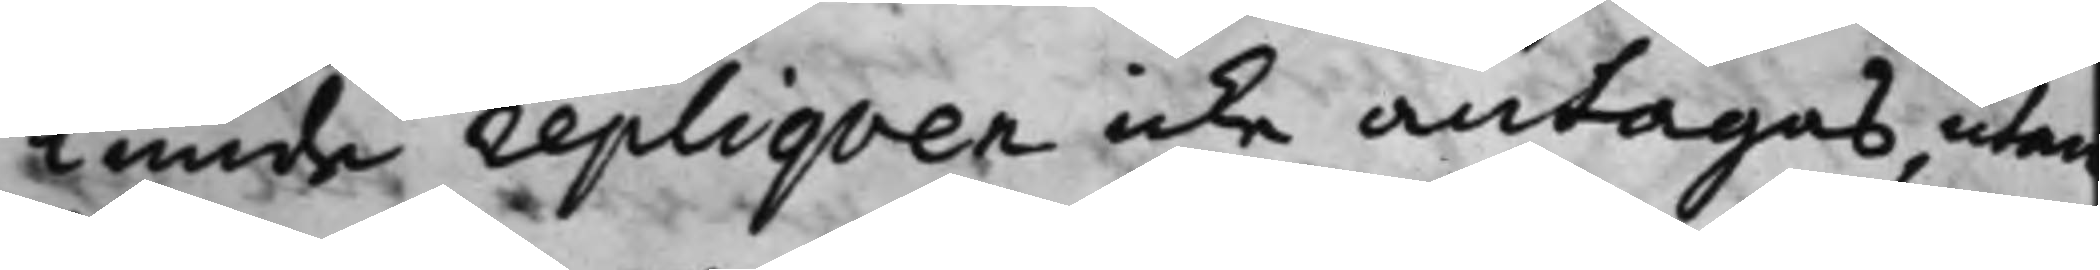kunde repliqven icke antagas utan
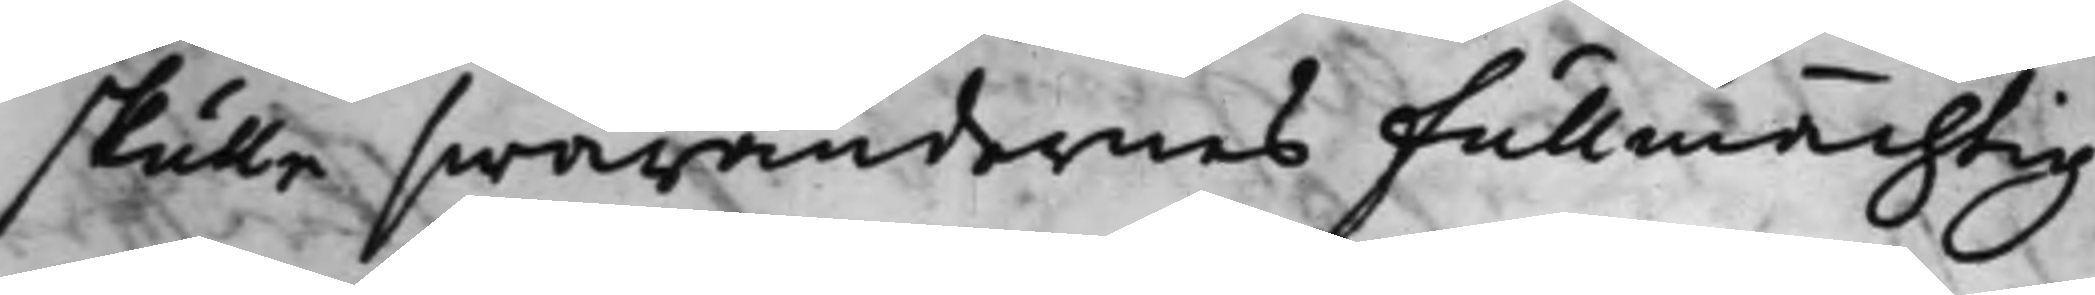skulle swarandernes fullmächtig
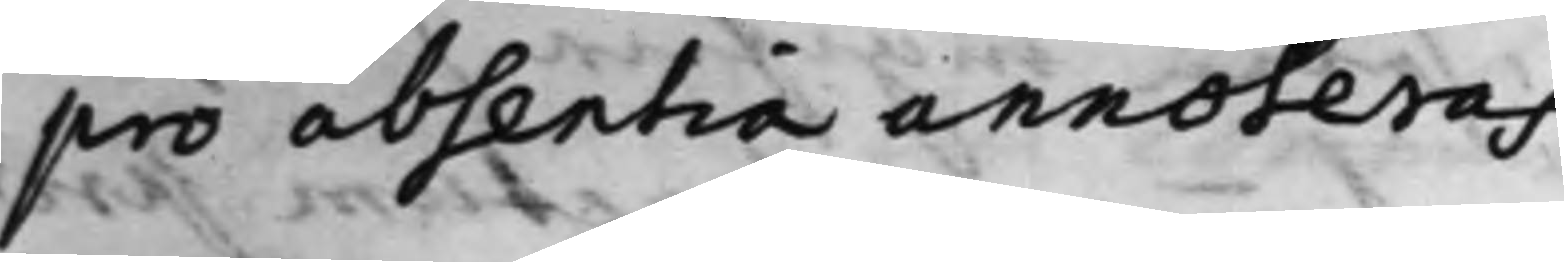pro absentia annoteras.
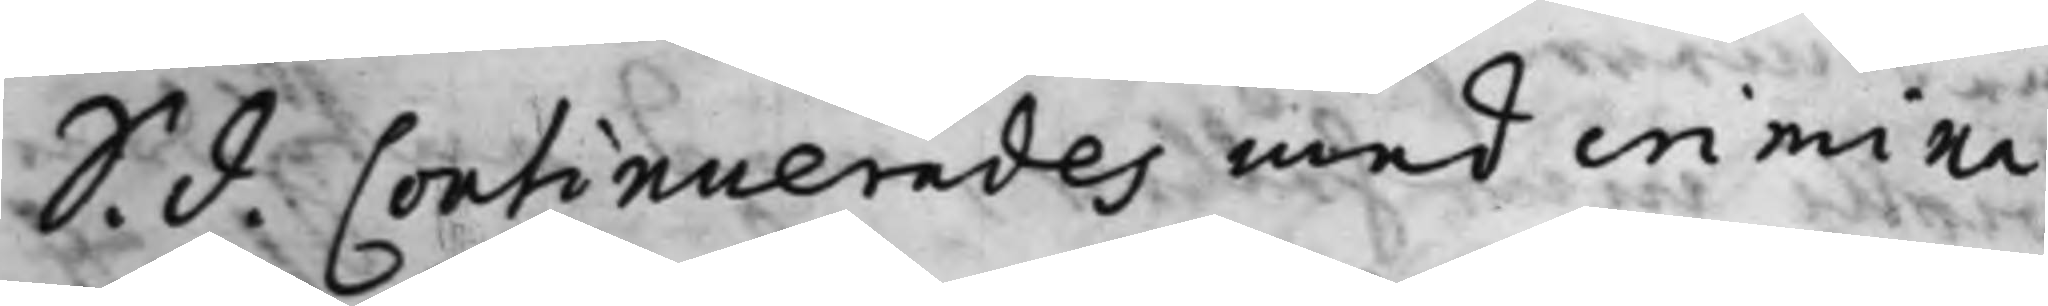S. d. Continuerades med crimina¬
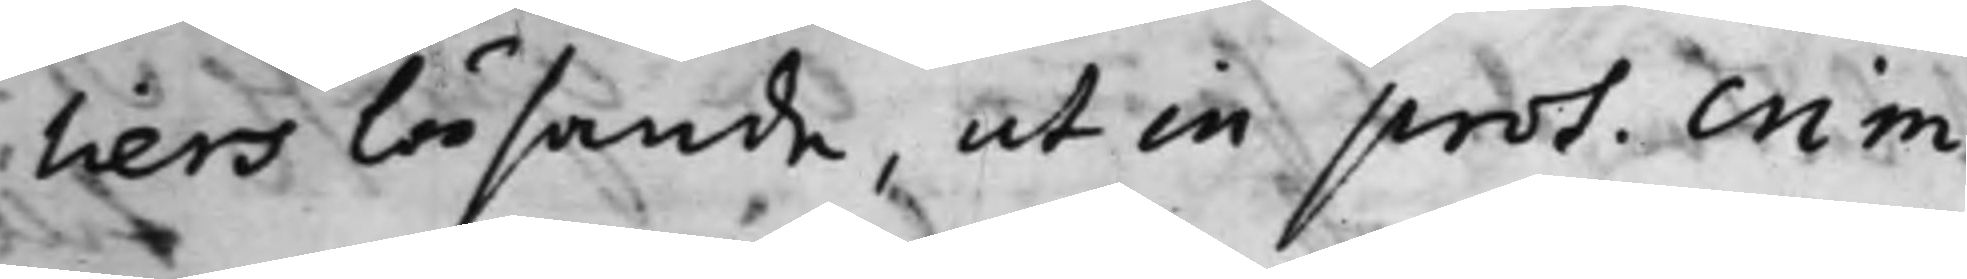tiers läsande, ut in prot. crim.
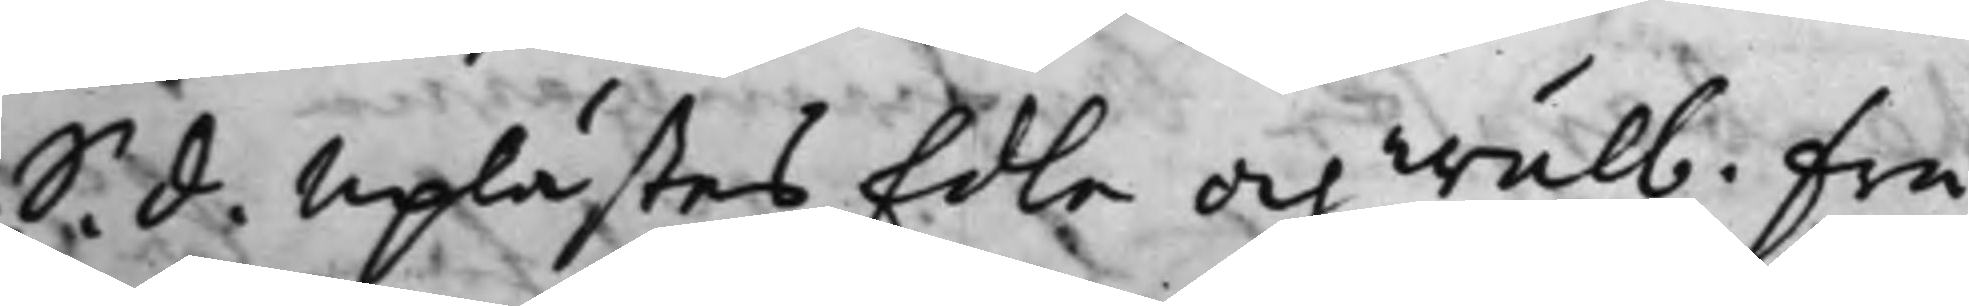S. d. Uplästes Edla och Wälb. Fru
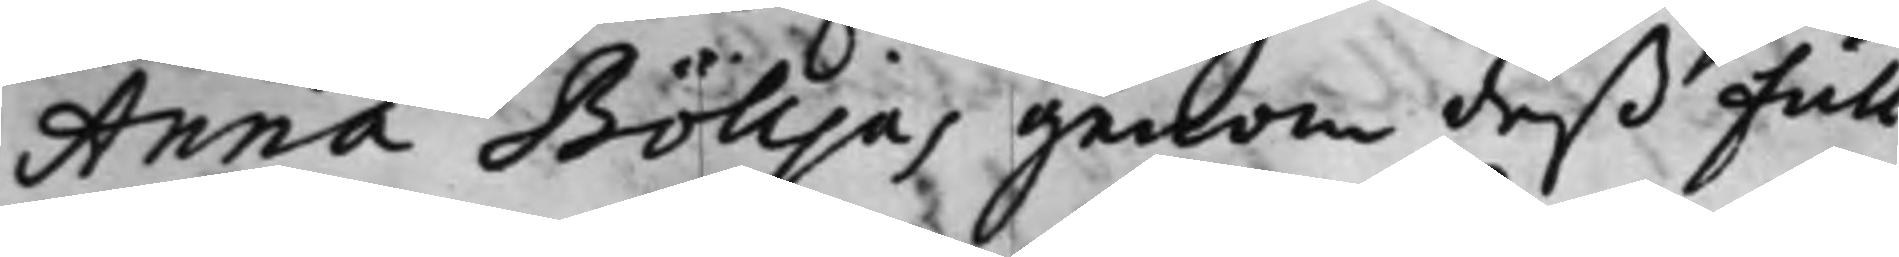Anna Bölljas genom deß full¬
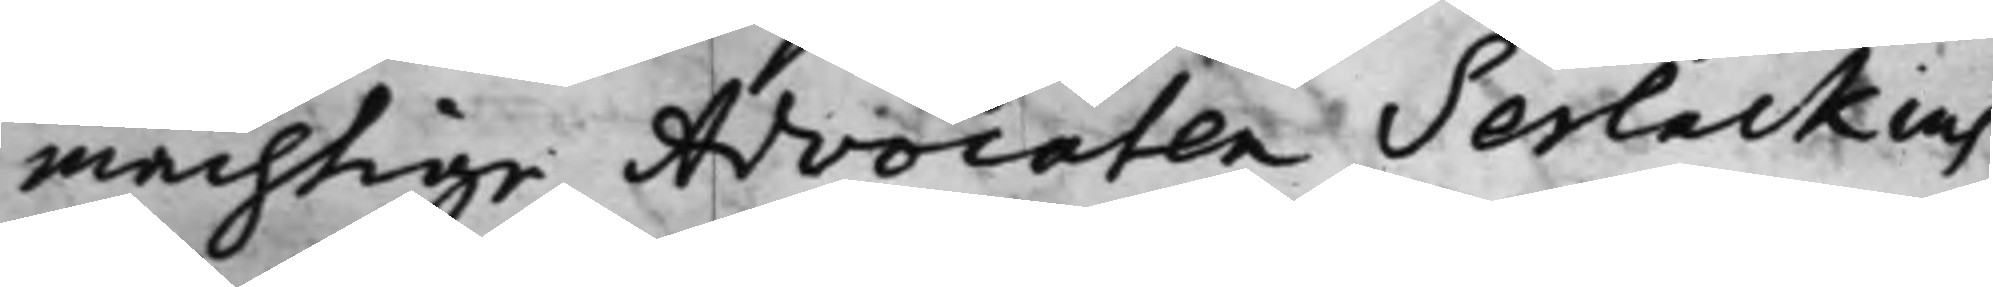mächtige Advocaten Serlackius
